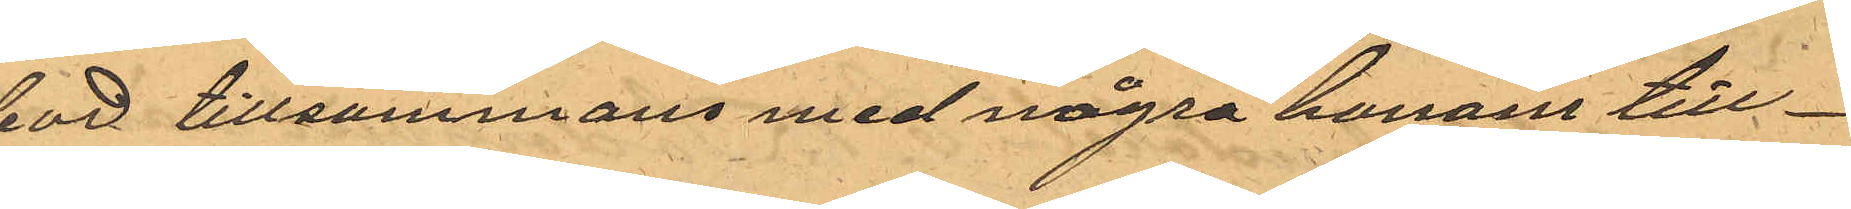bod tillsammans med några honom till¬
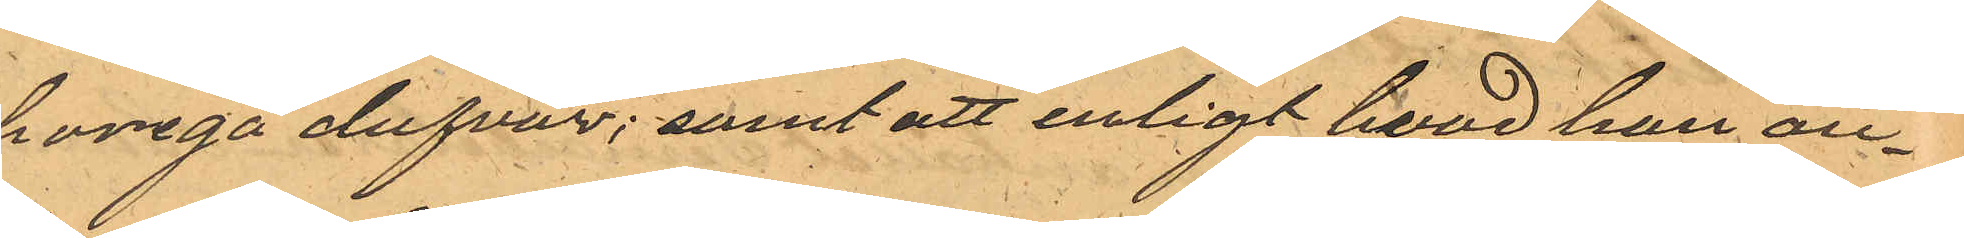horiga dufvor; samt att enligt hvad han an¬
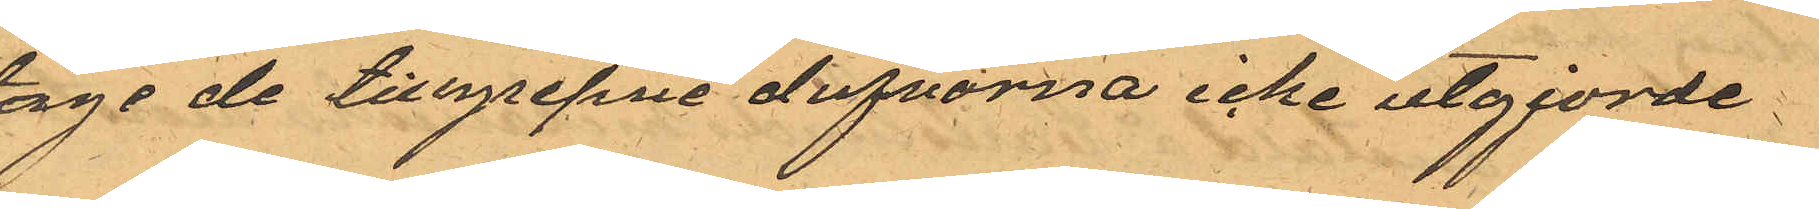toge de tillgripne dufvorna icke utgjorde
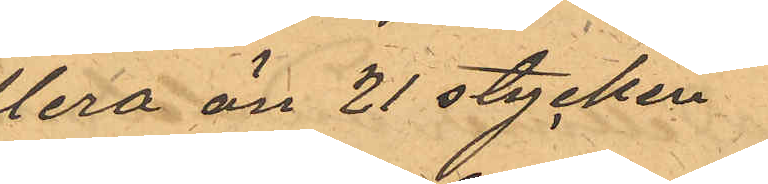flera än 21 stycken
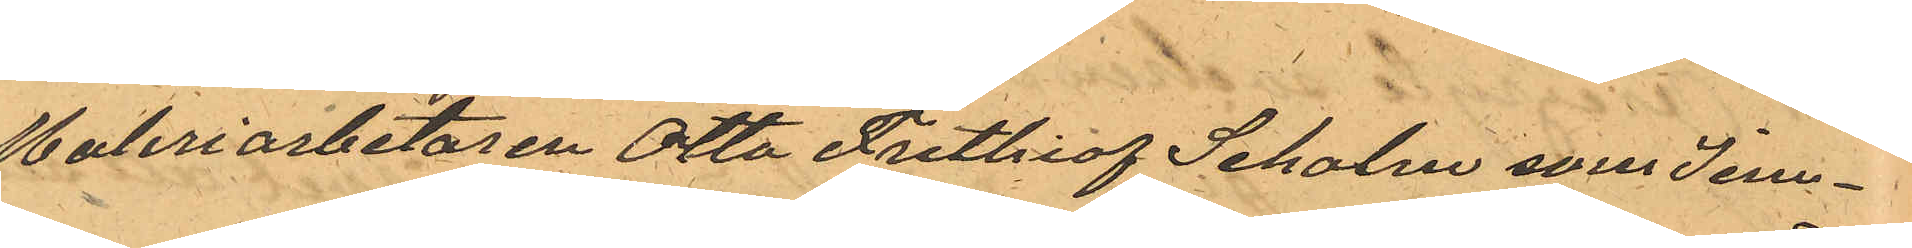Maleriarbetaren Otto Frithiof Seholm som Jem¬
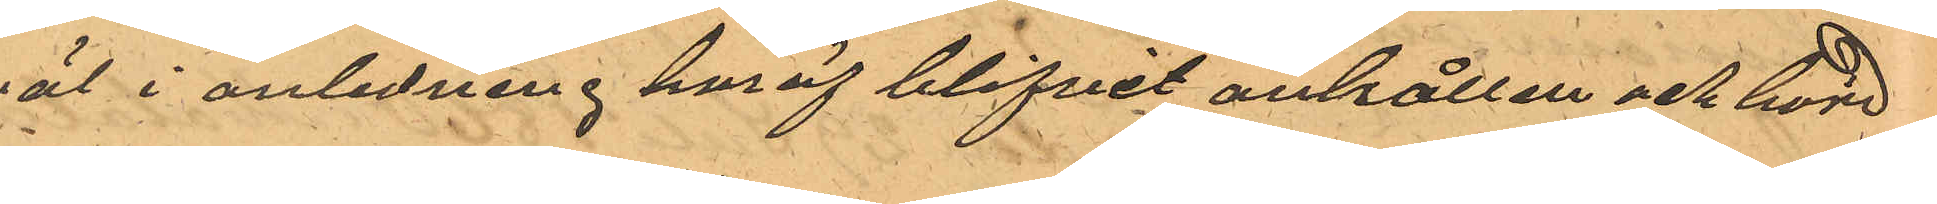väl i anledning häraf blifvit anhållen och hörd
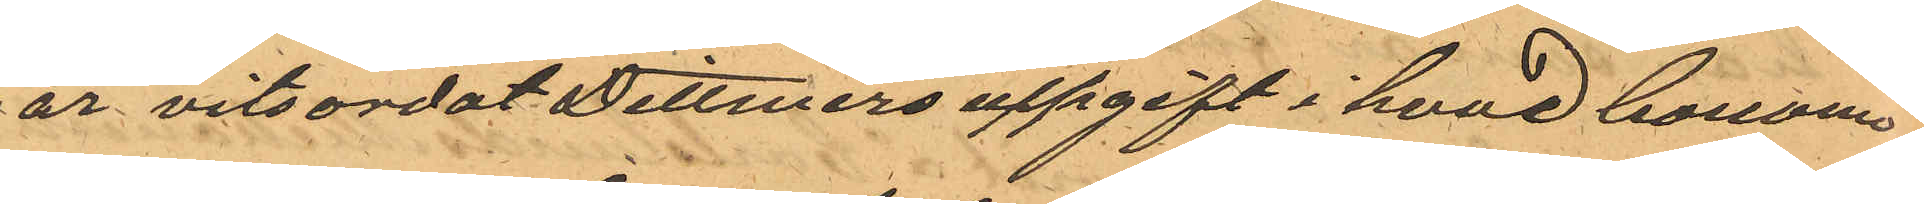har vitsordat Dittmers uppgift i hvad honom
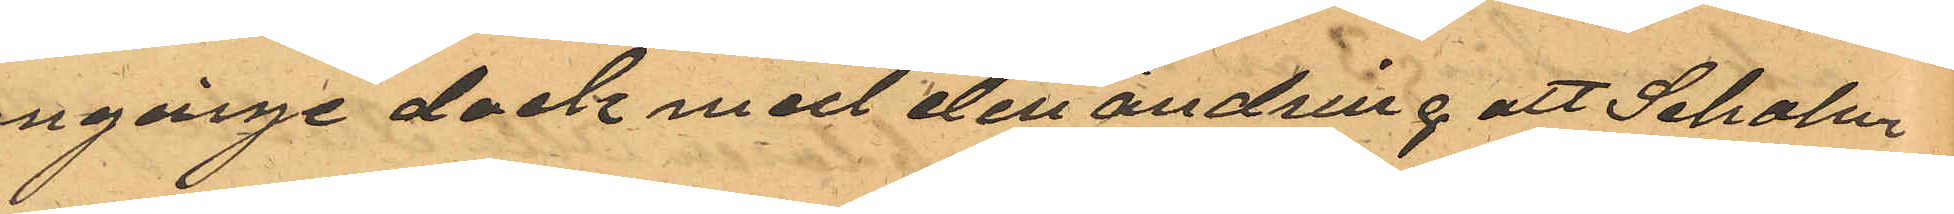angånge dock med den ändring att Seholm
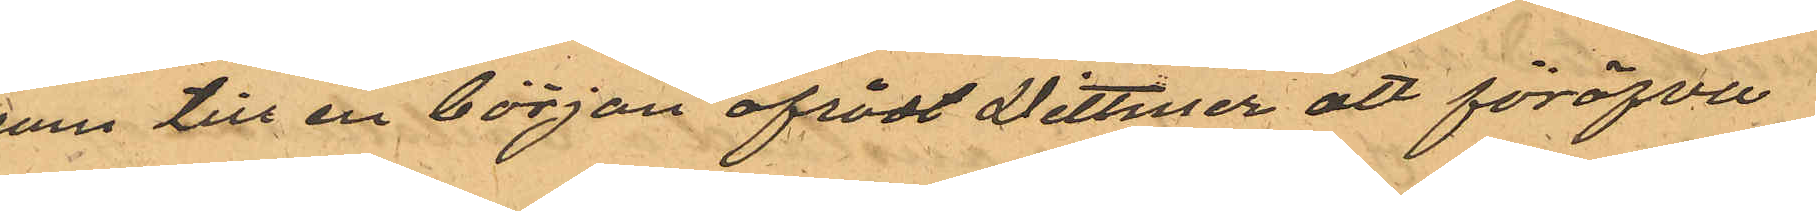som till en början afrådt Dittmer att föröfva
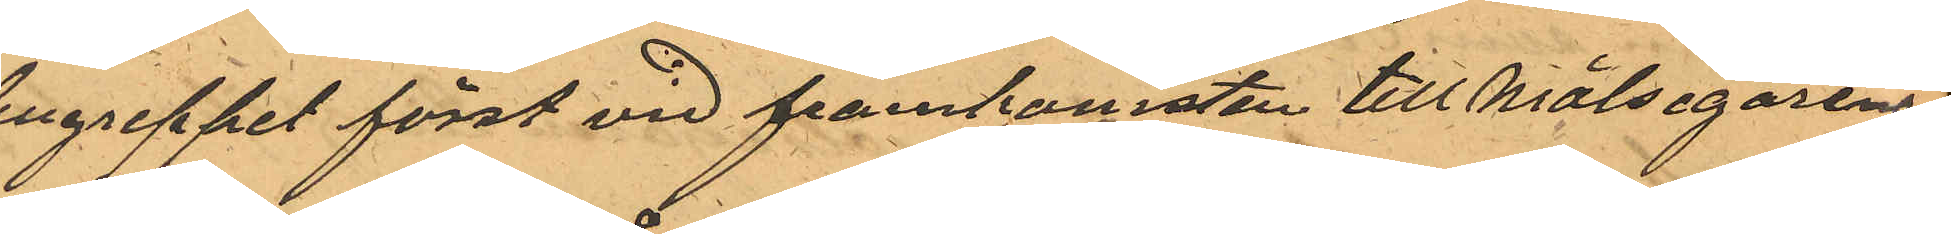tillgreppet först vid framkomsten till Målsegarens
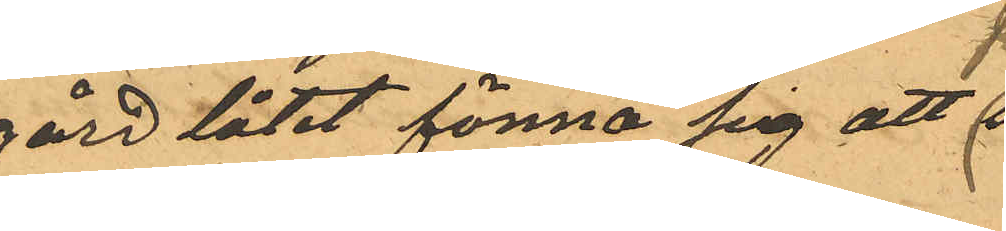gård låtit förmå sig att
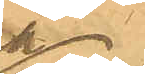på
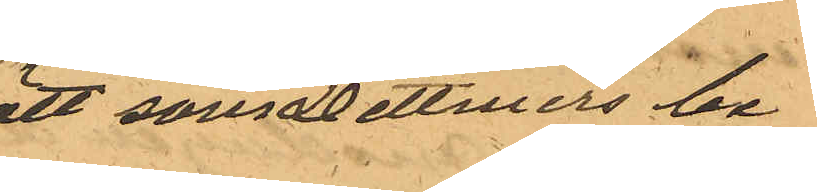sätt som Dittmers be¬
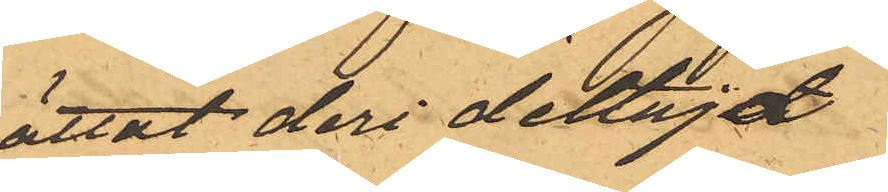rättat deri deltagat
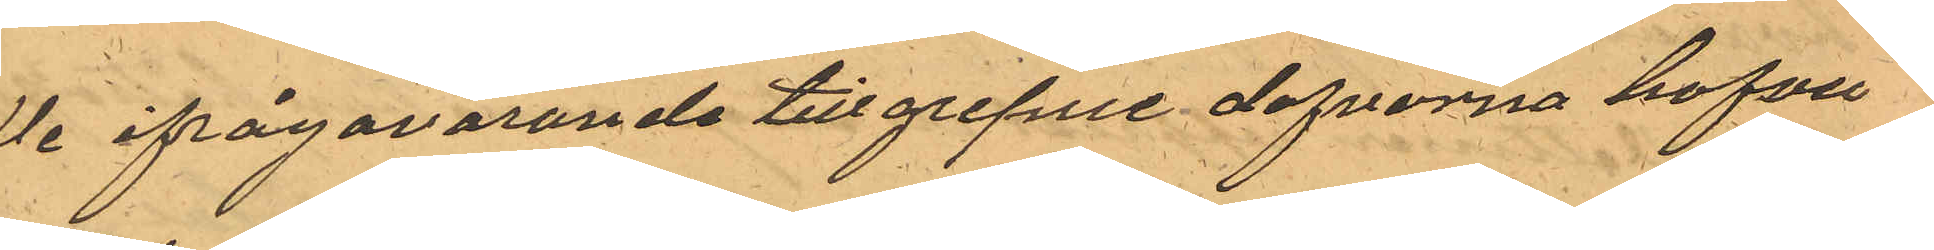Då ifrågavarande tillgripne dufvorna hafva
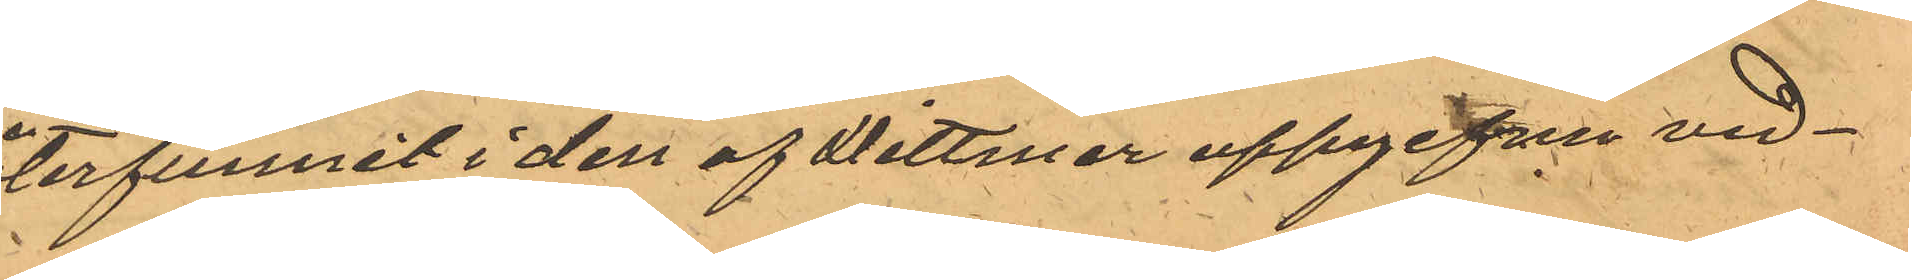återfunnit i den af Dittmer uppgifne ved¬
